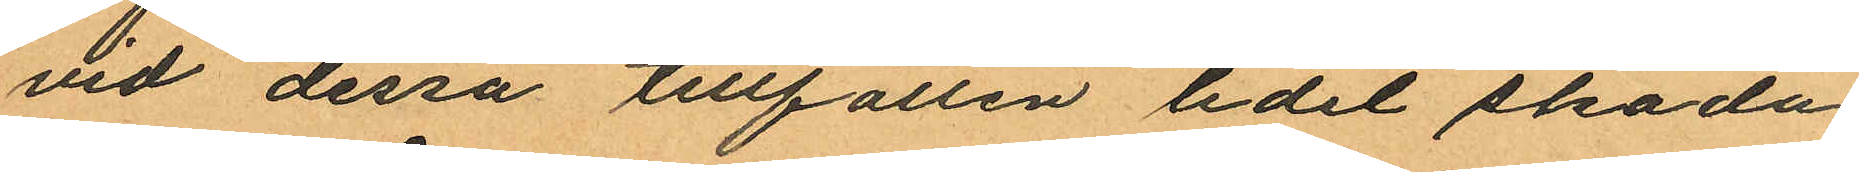vid dessa tillfällen lidit skada
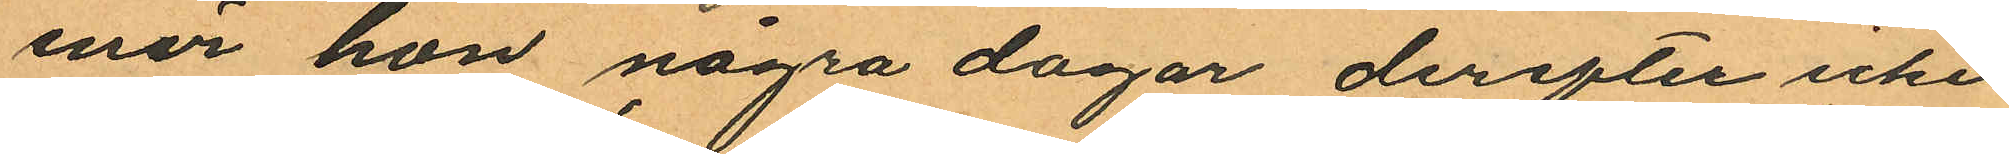enär hon några dagar derefter icke
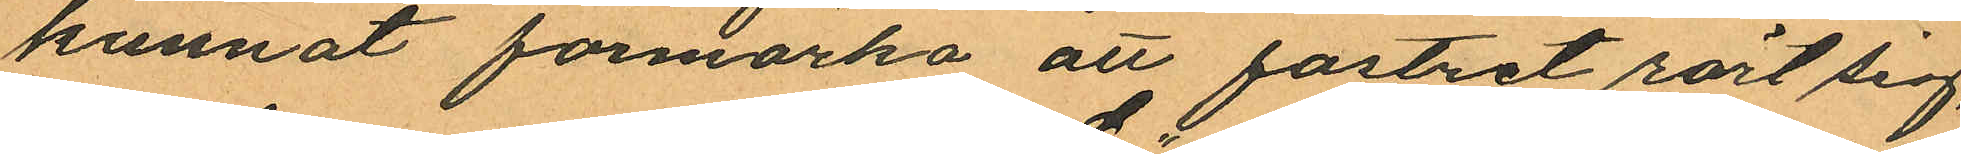kunnat förmärka att fostret rört sig,
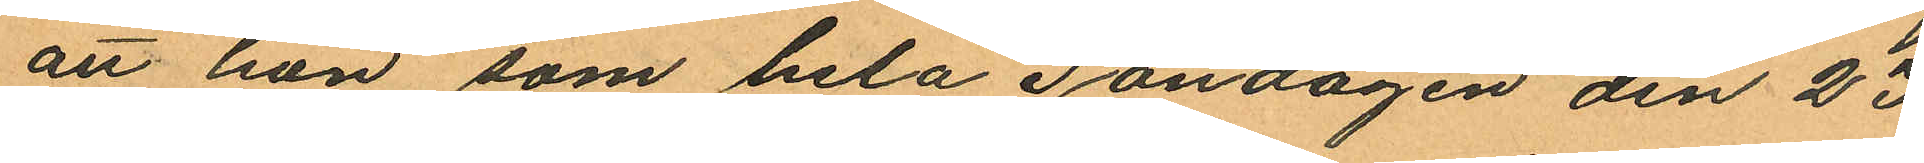att hon som hela Söndagen den 23
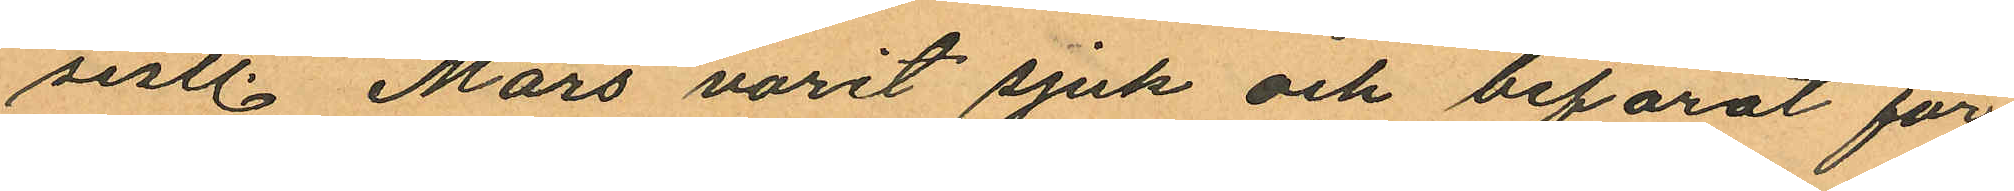sistl. Mars varit sjuk och befarat för
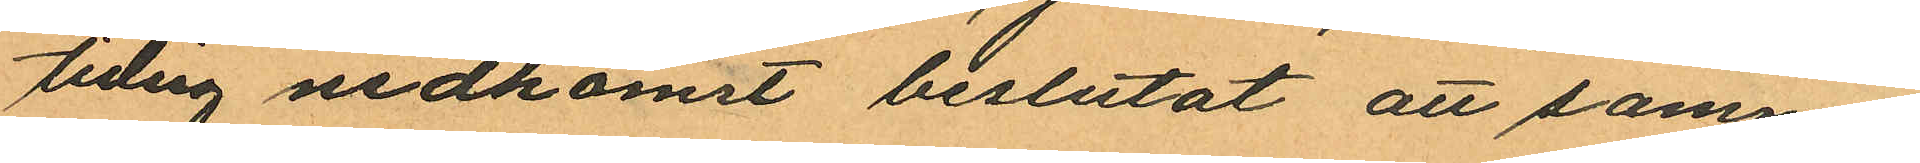tidig nedkomst beslutat att samma
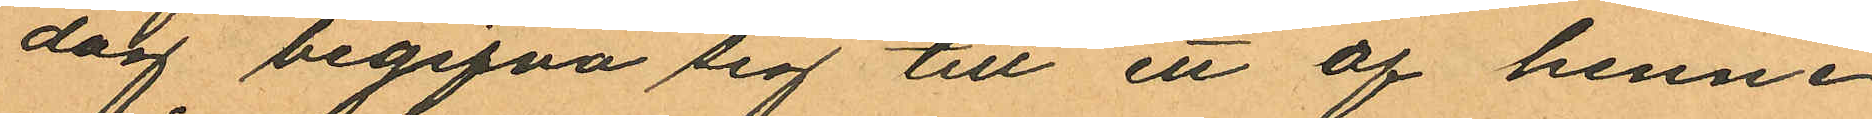dag begifva sig till ett af henne
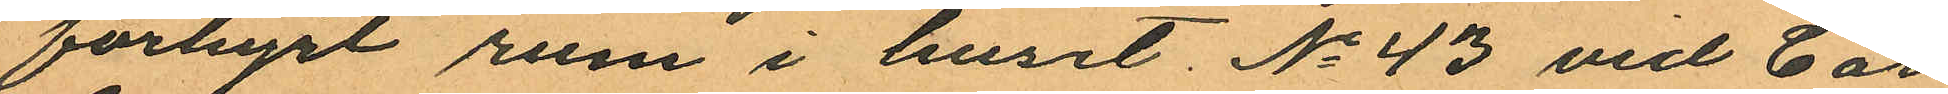förhyrt rum i huset No 43 vid Car
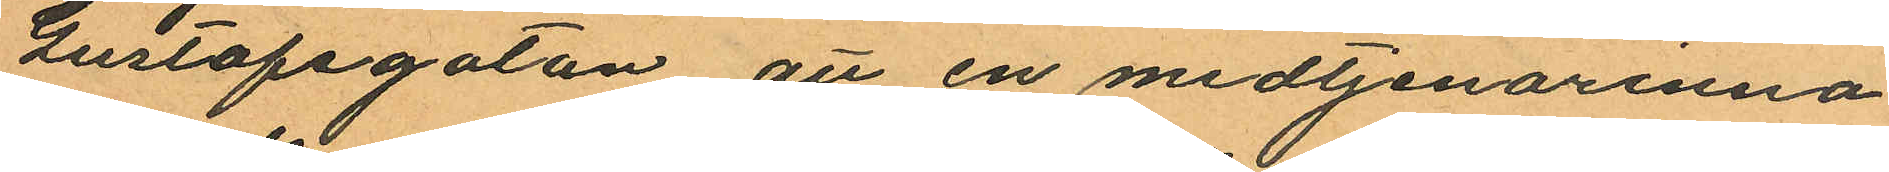Gustafsgatan att en medtjenarinna
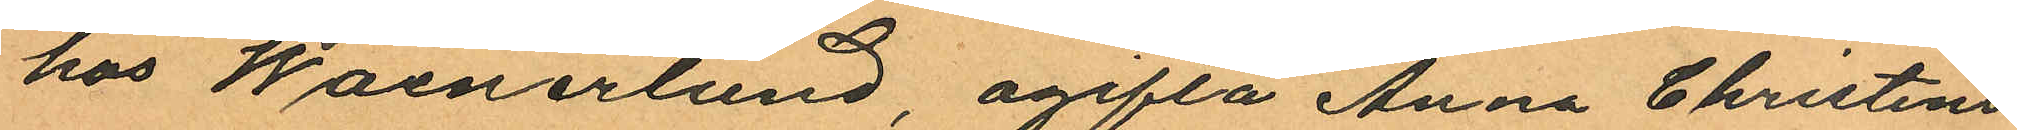hos Waenerlund, ogifta Anna Christens
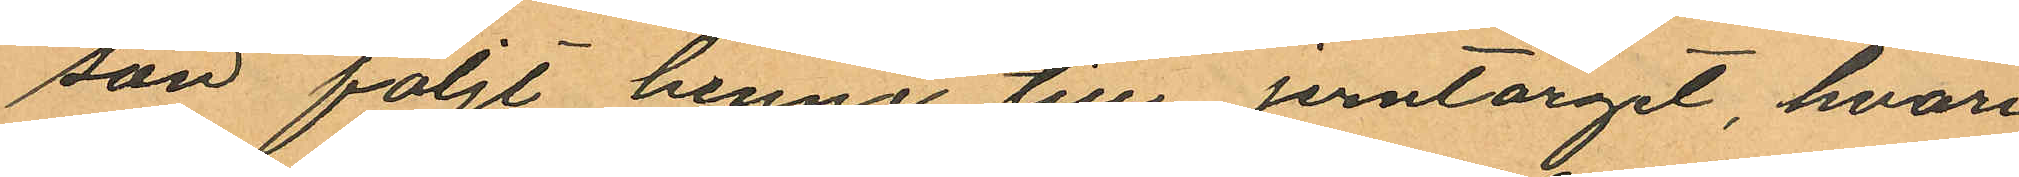son följt henne till Jerntorget, hvari
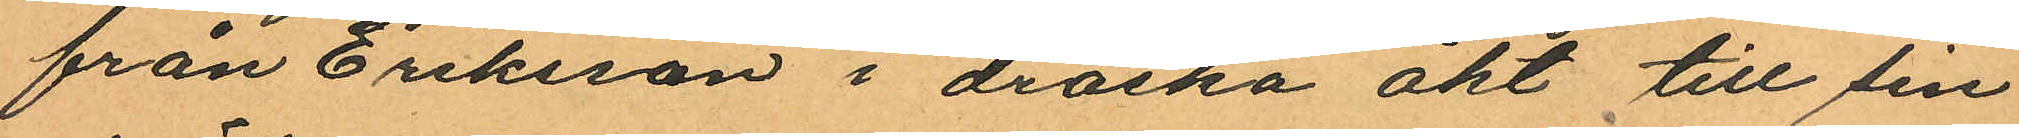från Eriksson i droska åkt till sin
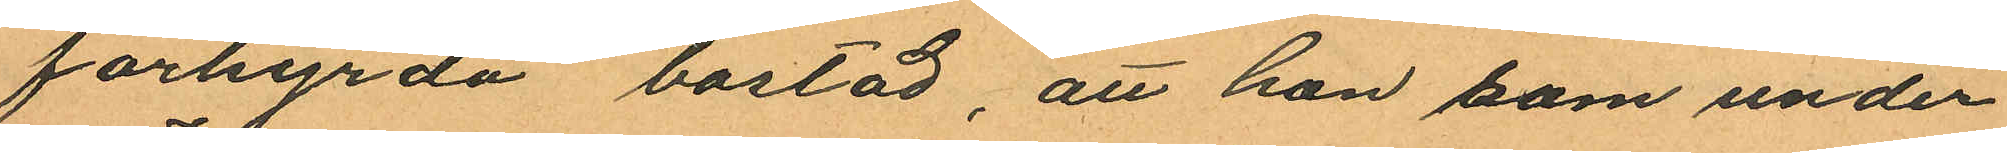förhyrda bostad, att hon som under
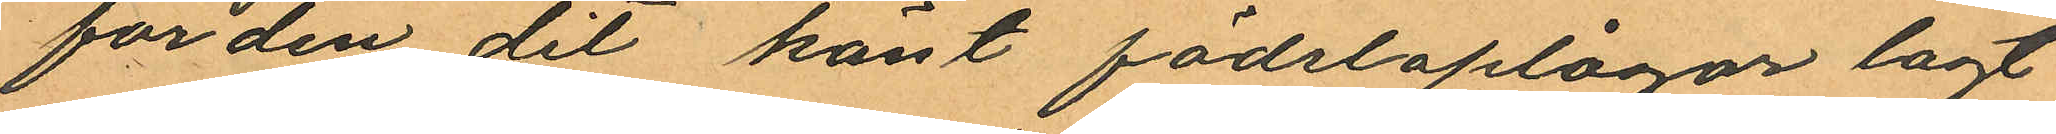färden dit känt födsloplågor lagt
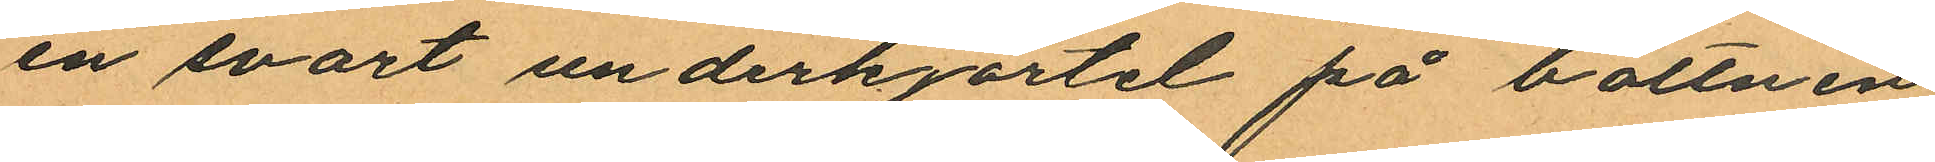en svart underkjortel på bottnen
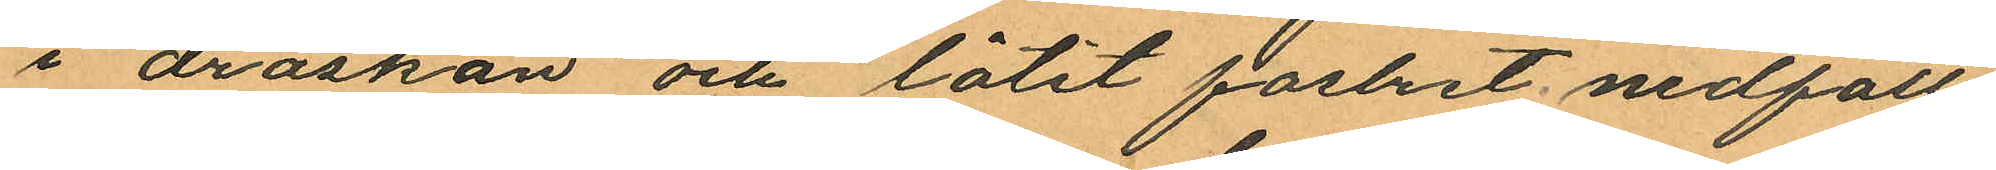i droskan och låtit fostret nedfalla
